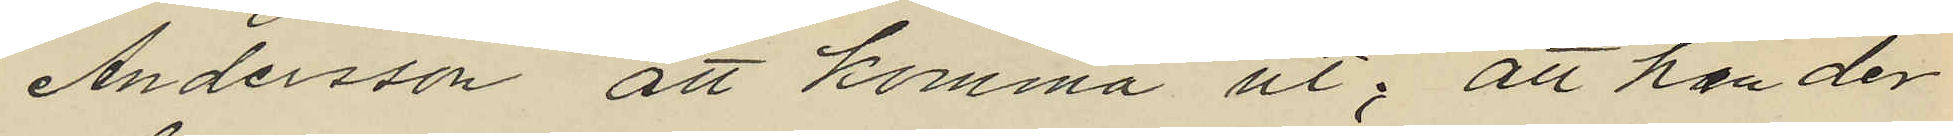Andersson att komma ut; att han der
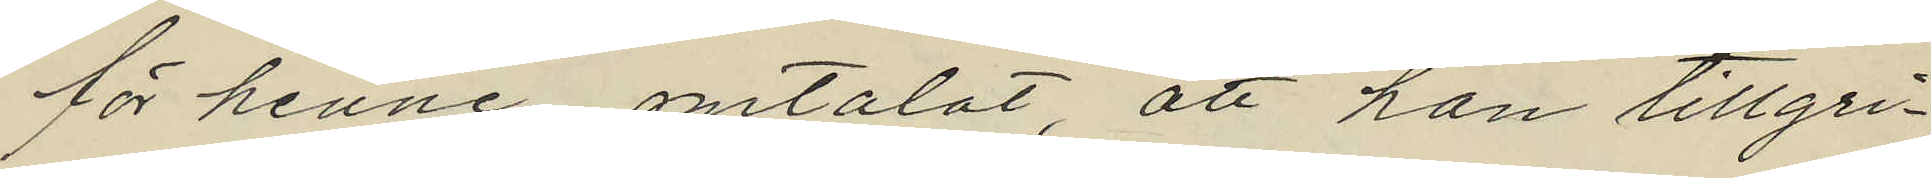för henne omtalat, att han tillgri¬
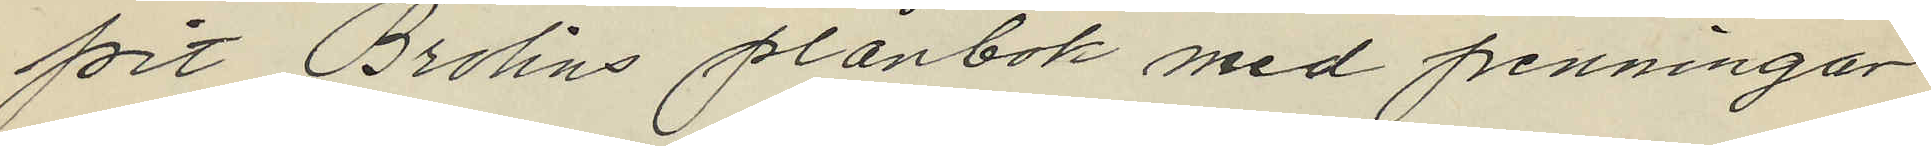fört Brolins plånbok med penningar
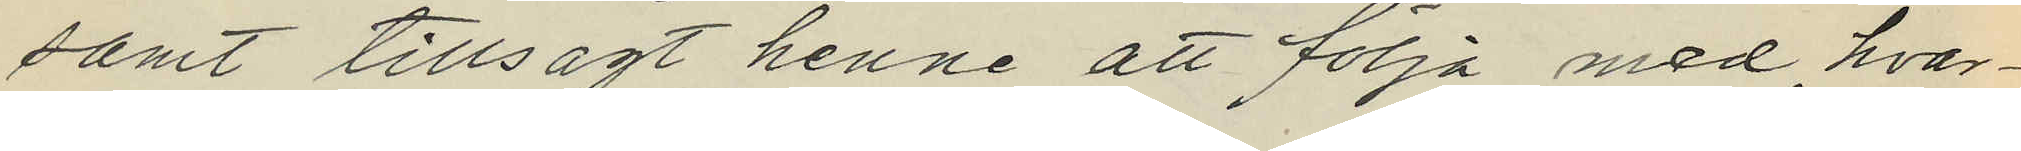samt tillsagt henne att följa med, hvar¬
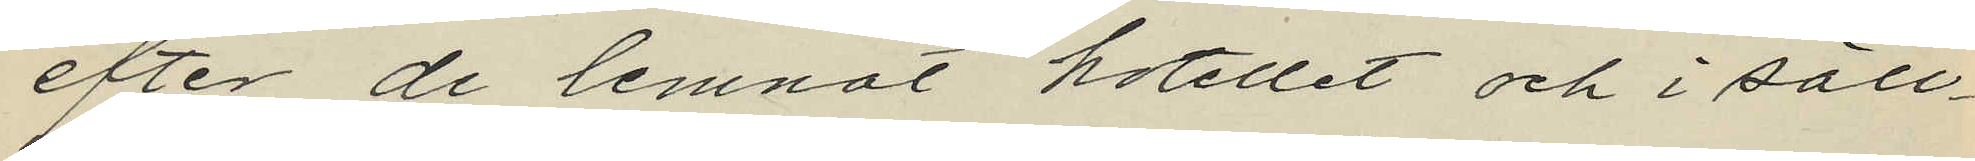efter de lemnat hotellet och i säll¬
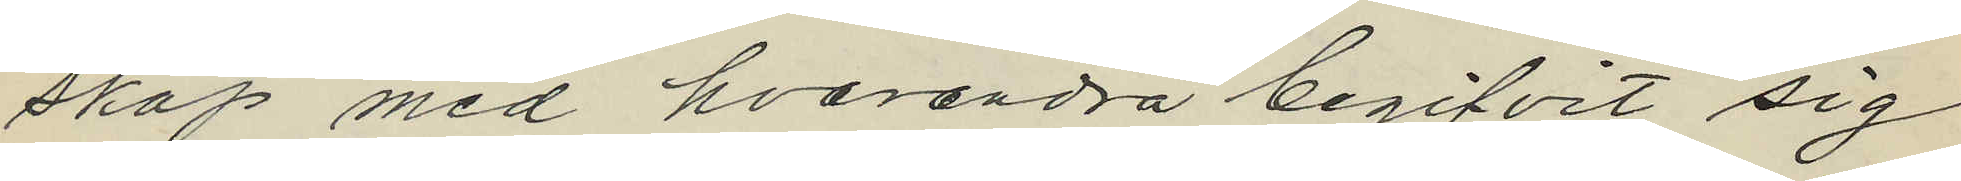skap med hvarandra begifvit sig
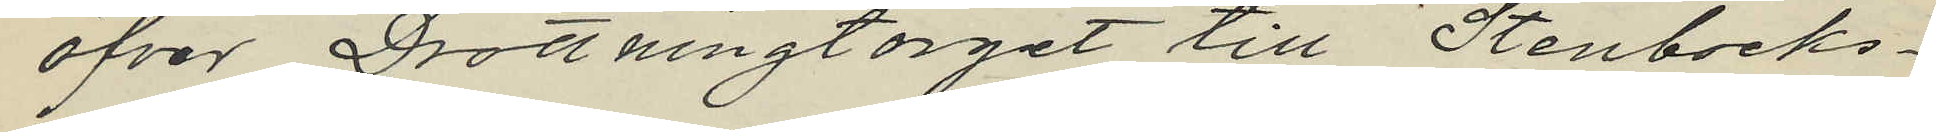öfver Drottningtorget till Stenbecks¬
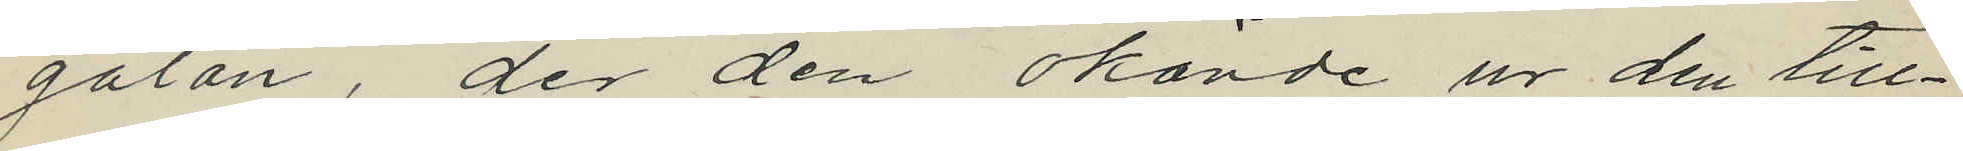gatan, der den okände ur den till¬
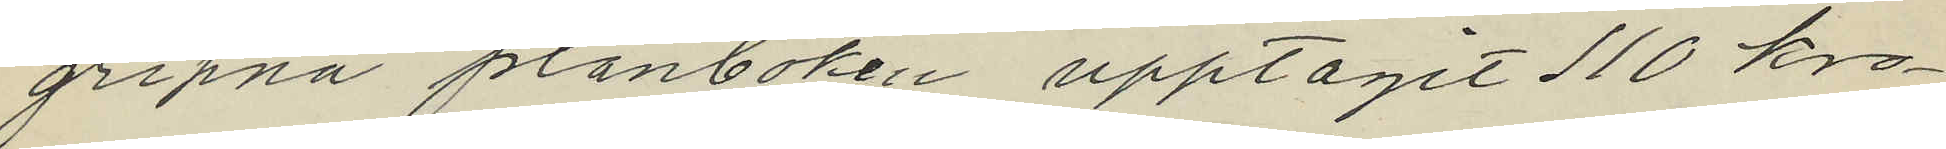gripna plånboken upptagit 110 kro¬
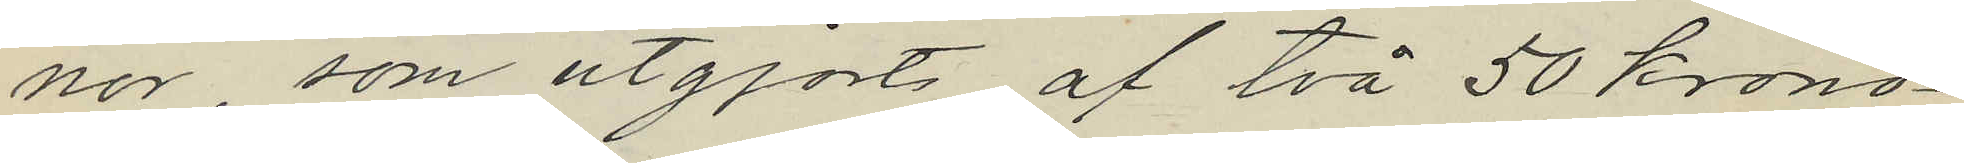nor, som utgjorts af två 50 krono¬
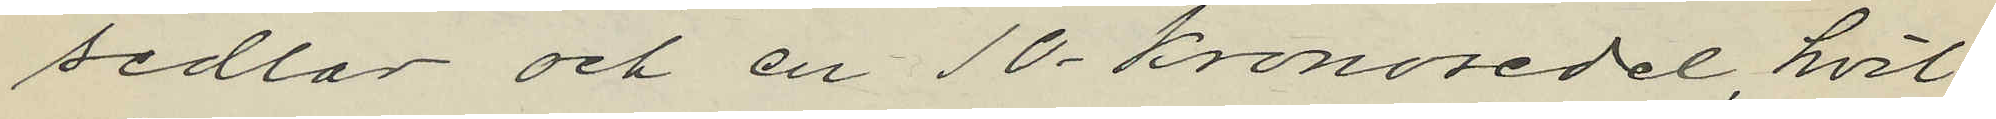sedlar och en 10-kronosedel hvil¬
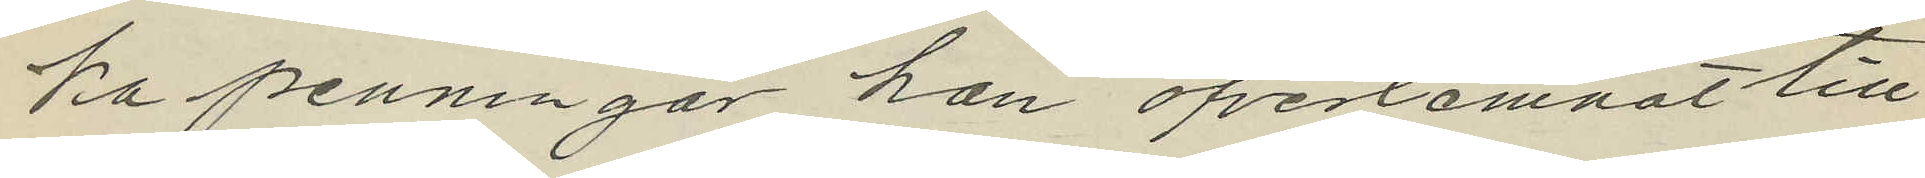ka penningar han öfverlemnat till
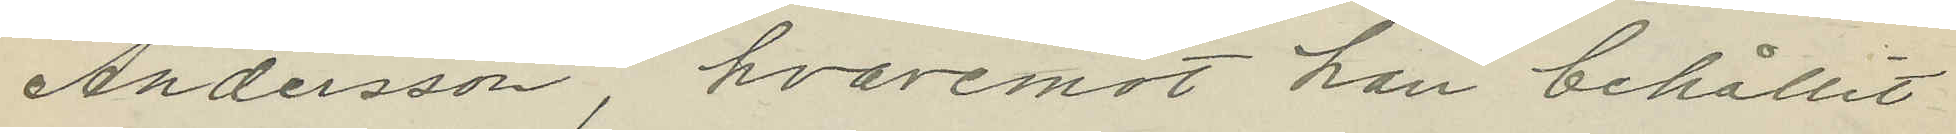Andersson, hvaremot han behållit
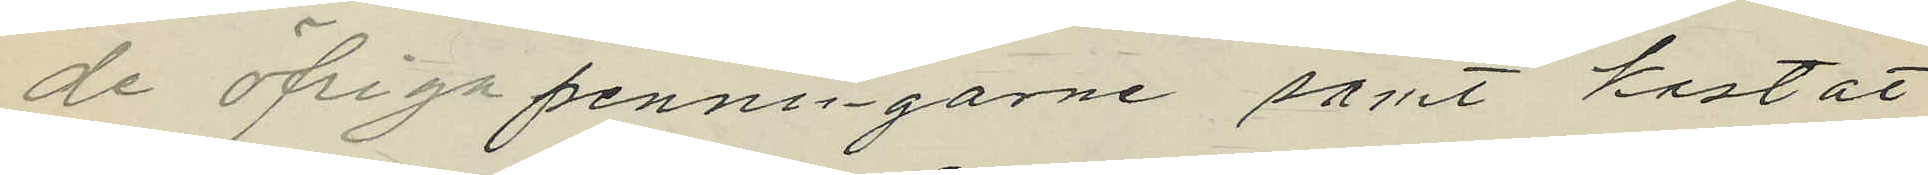de öfriga penningarne samt kastat
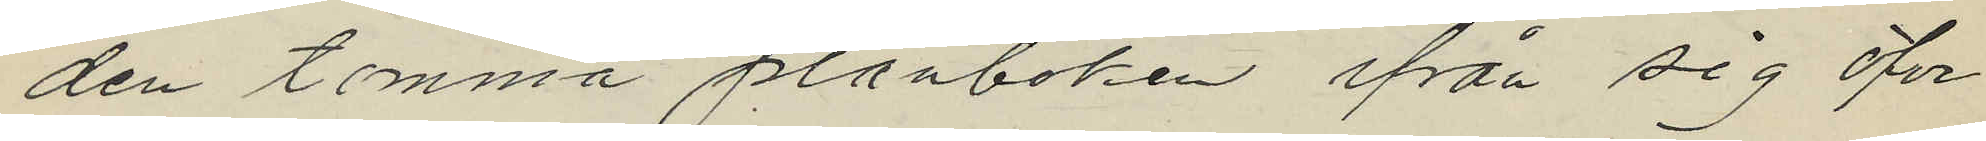den tomma plånboken ifrån sig öfver
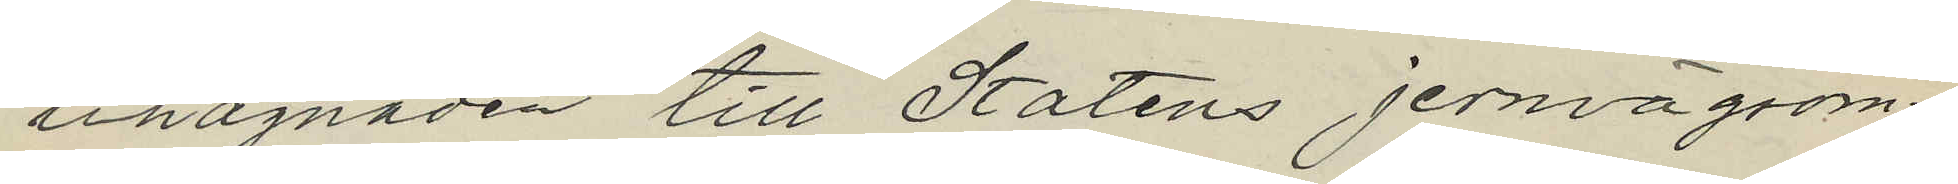inhägnaden till Statens jernvägsom¬
